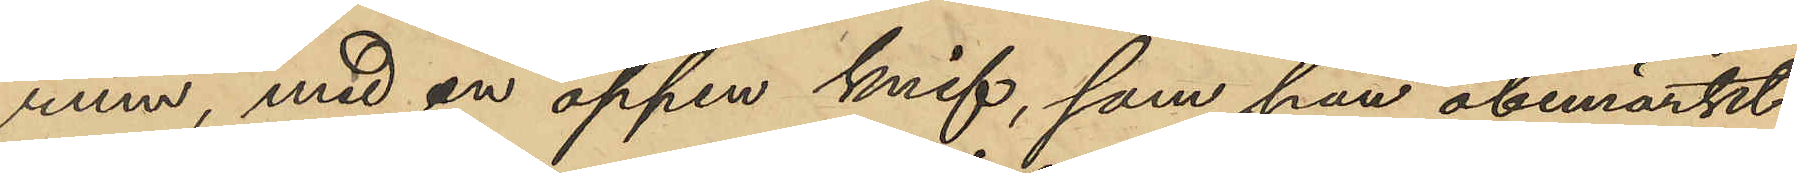rum med en öppen knif, som han obemärkt
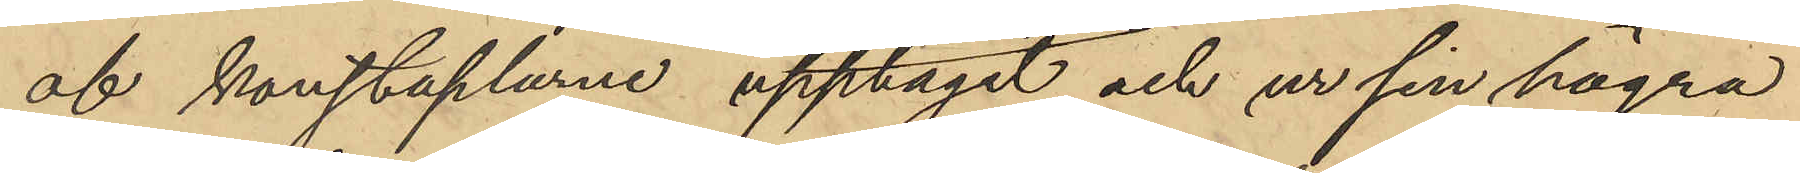af konstaplarne upptagit och ur sin högra
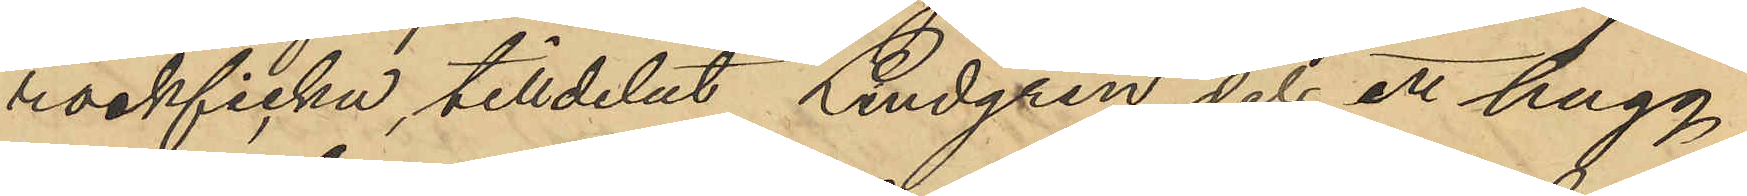rockficka, tilldelat Lindgren dels ett hugg
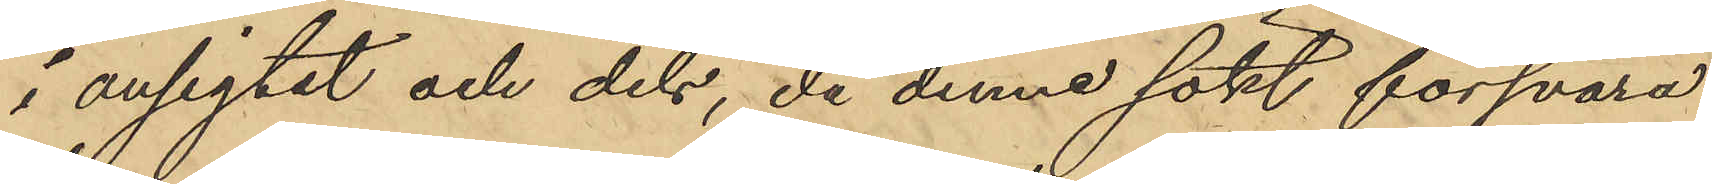i ansigtet och dels, då denne sökt försvara
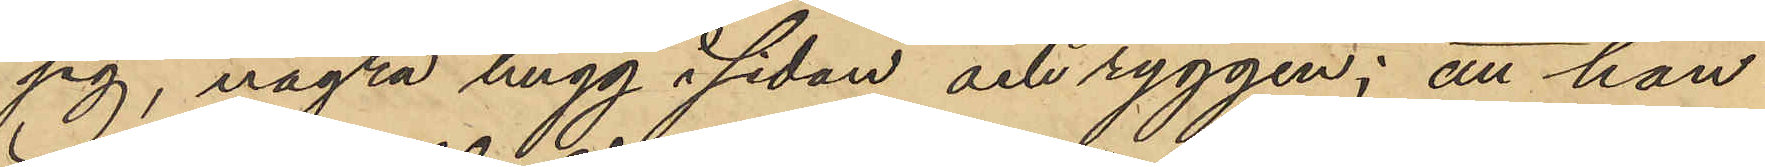sig, några hugg i sidan och ryggen; att han
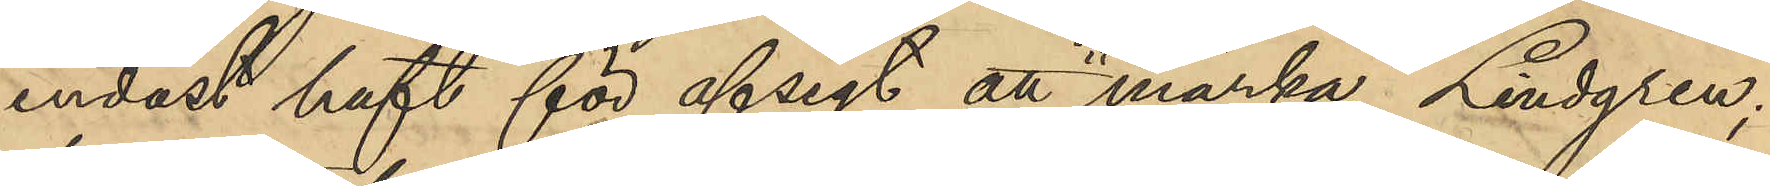endast haft för afsigt att "märka" Lindgren;
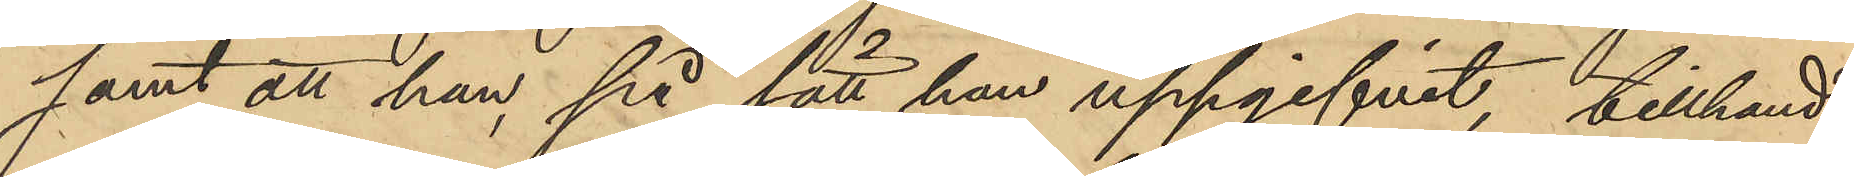samt att han på sätt han uppgifvit, tillhand¬
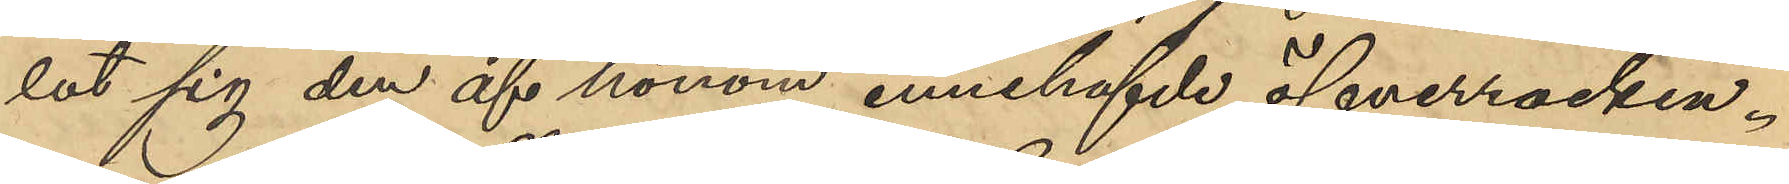lat sig den af honom innehafvde öfverrocken.
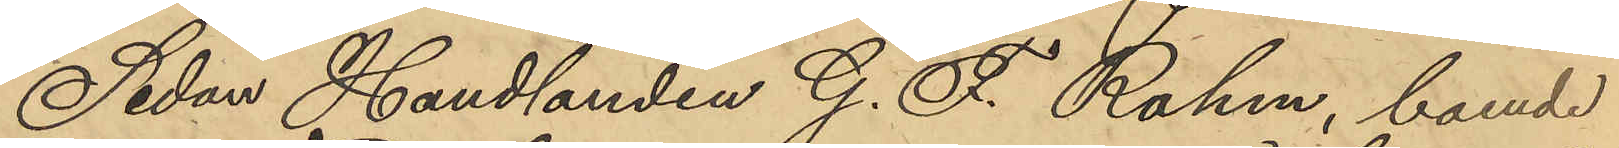Sedan Handlanden G. F. Rahm, boende
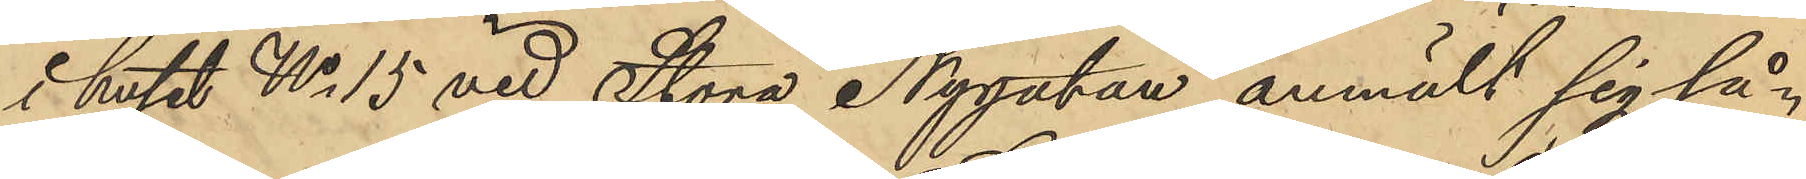i huset No 15 vid Stora Nygatan anmält sig så¬
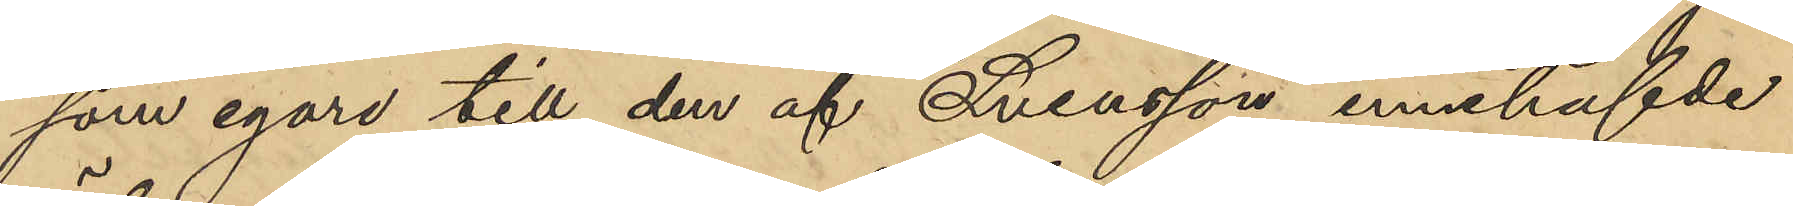som egare till den af Svensson innehafvde
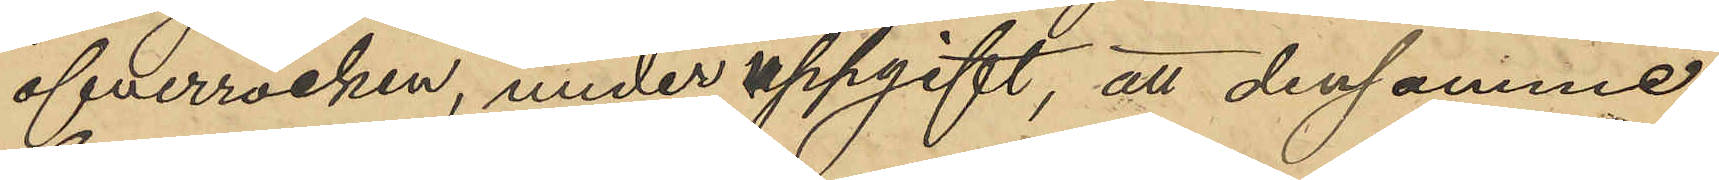öfverrocken, under uppgift, att densamme
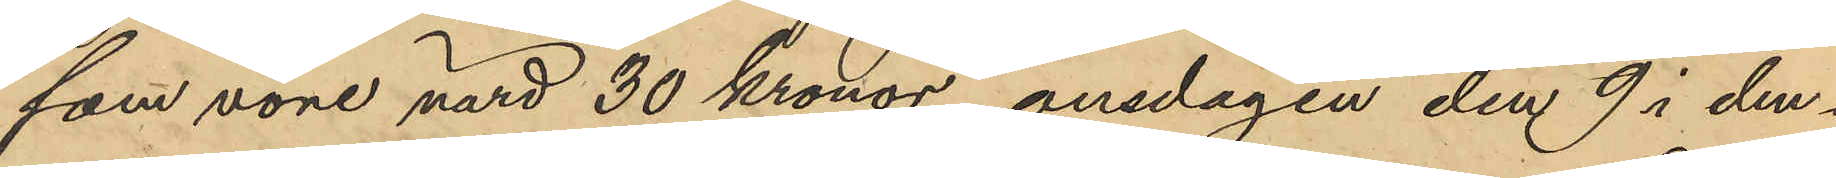som vore värd 30 kronor, onsdagen den 9 i den¬
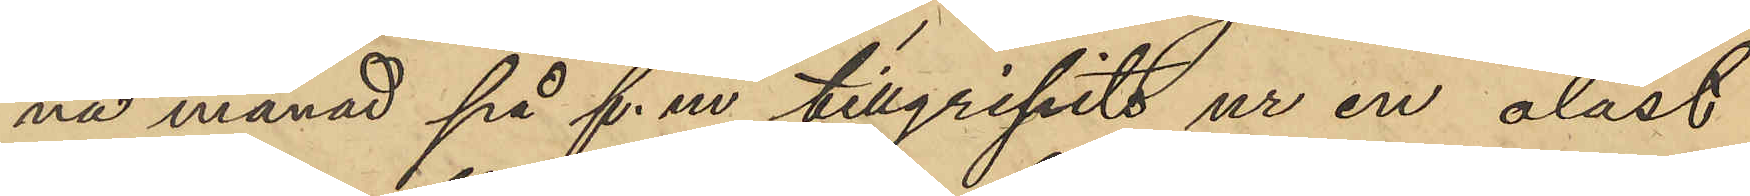na månad på f. m. tillgripits ur en olåst
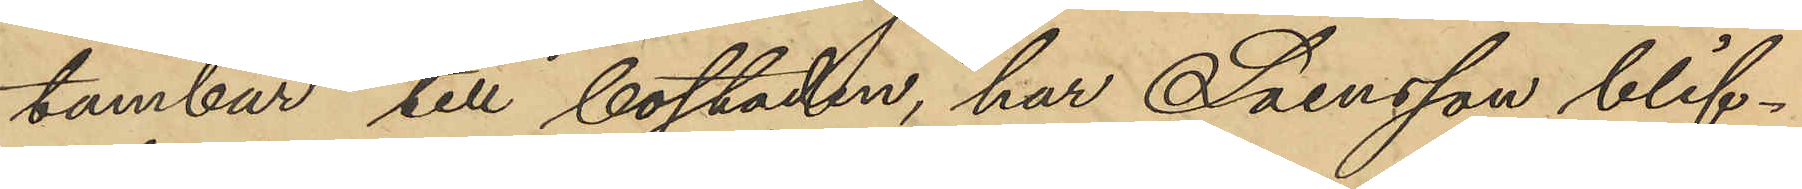tambur till bostaden, har Svensson blif¬
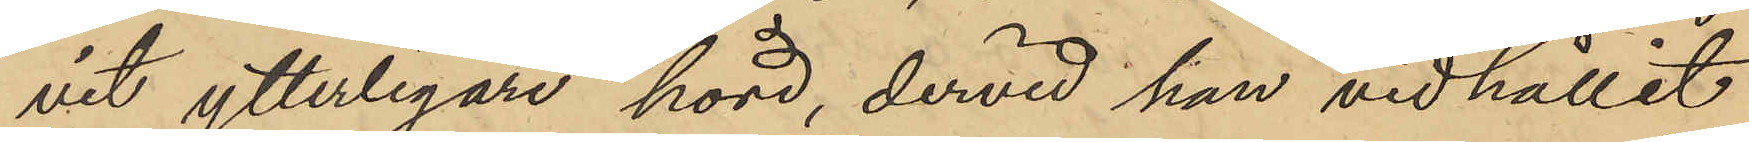vit ytterligare hörd, dervid han vidhållit
